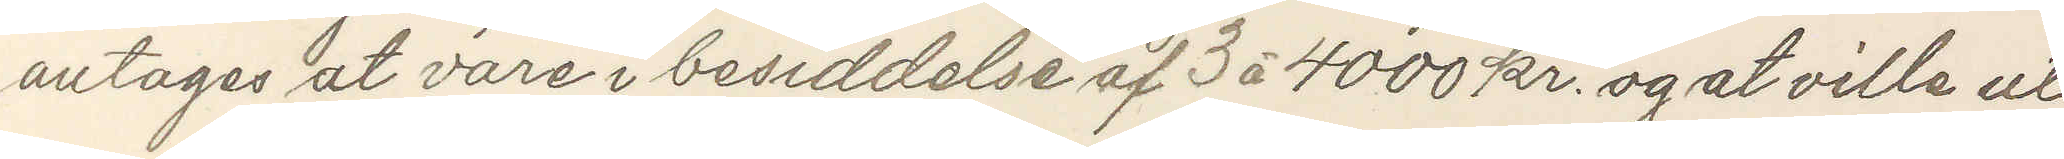antages vare i besiddelse af 3 à 4000 kr og at ville ut¬
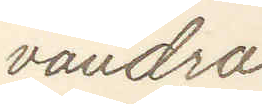vandra.
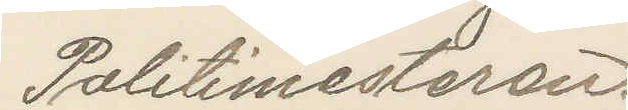Politimesteren.
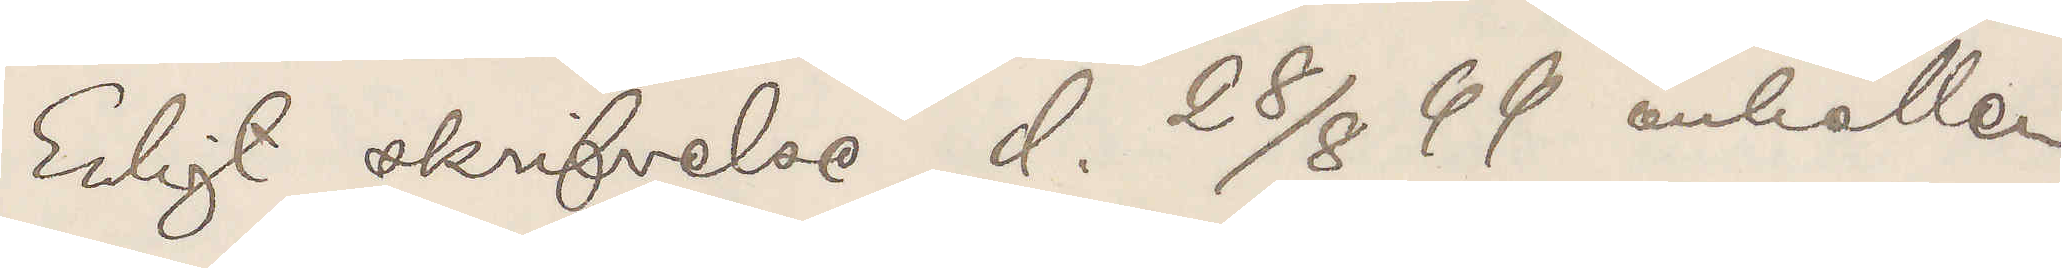Enligt skrifvelse d. 28/8 99 anhållen
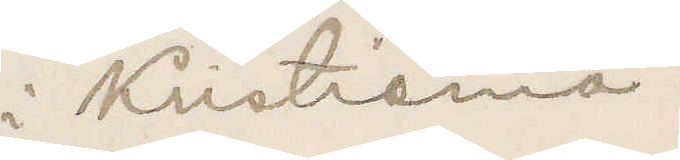i Kristiania.
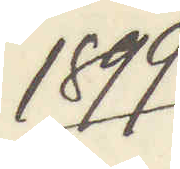1899
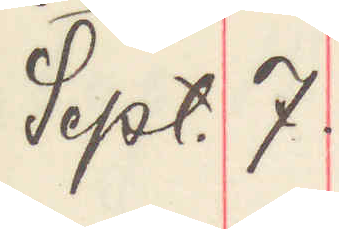Sept. 7.
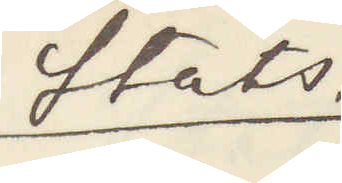Stats.
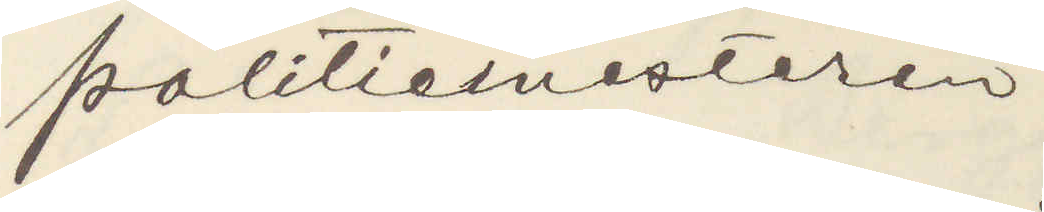Politimesteren,
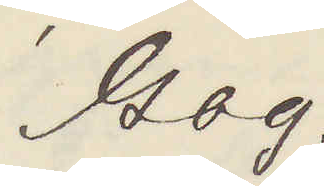Gbg.
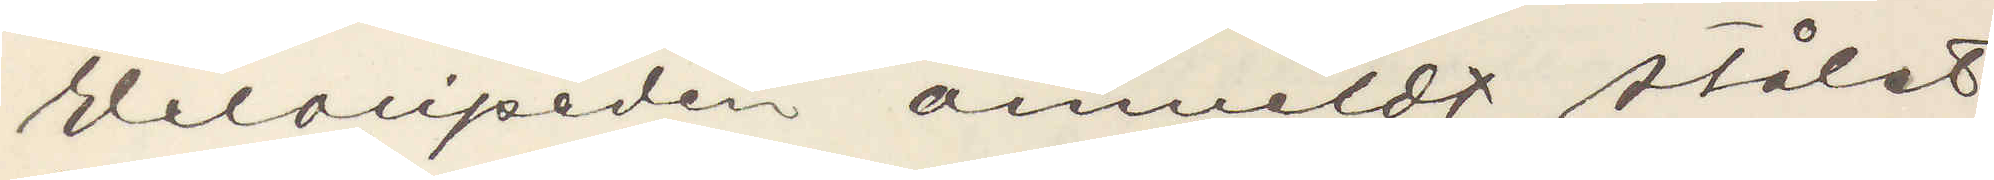Velocipeden anmeldt stålet
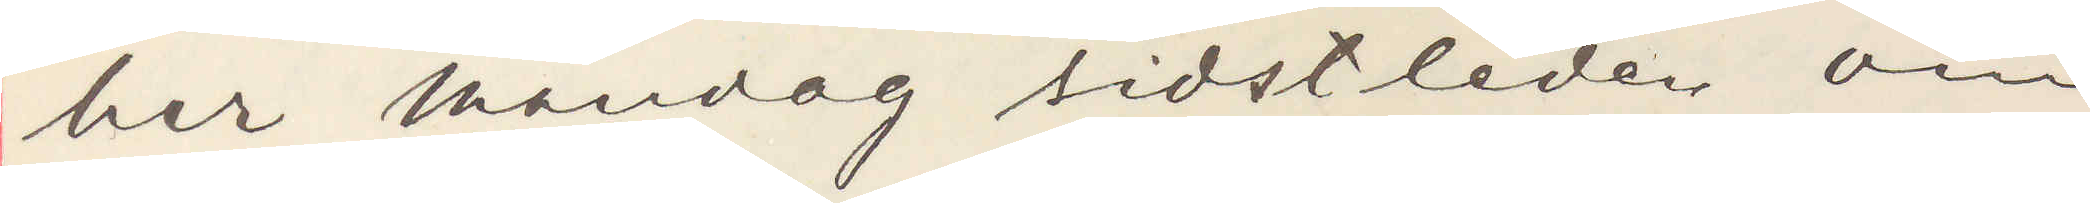her Mandag sistliden om
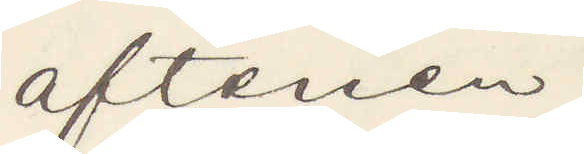aftenen.
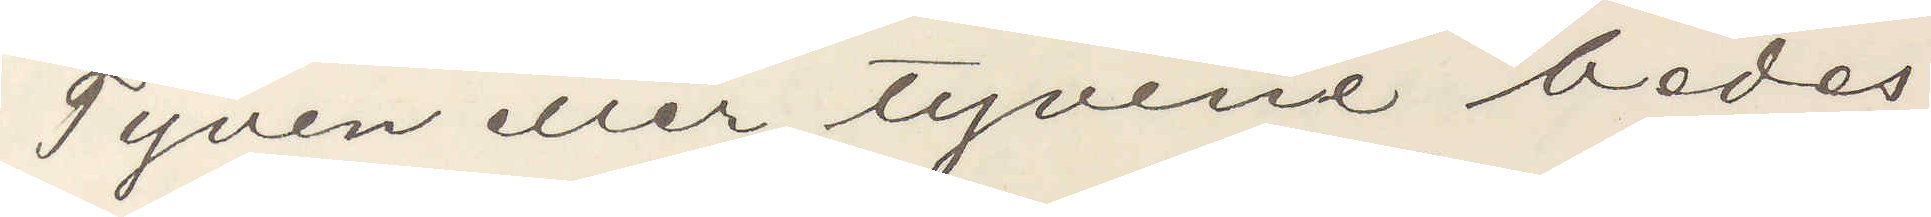Tyven eller tyvene bedes
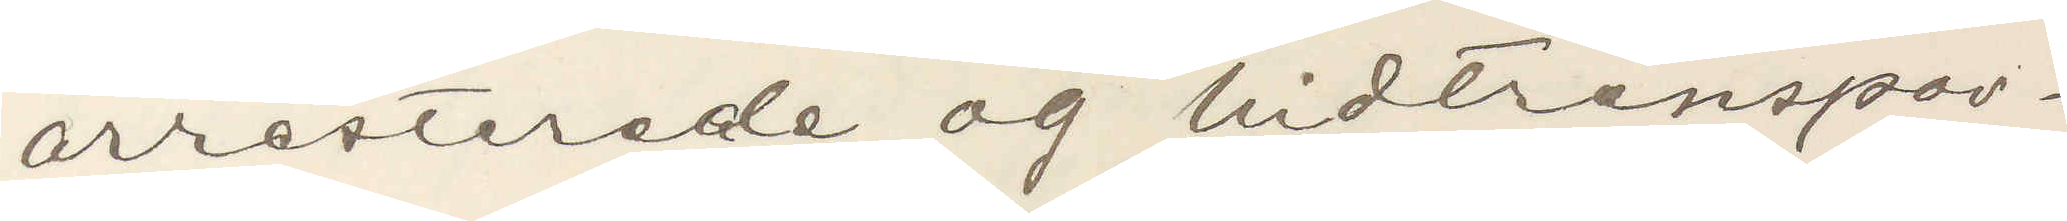arresterade og hittranspor¬
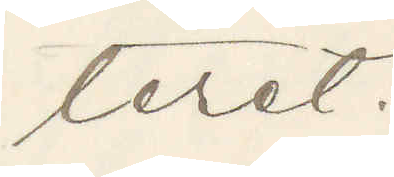teret.
